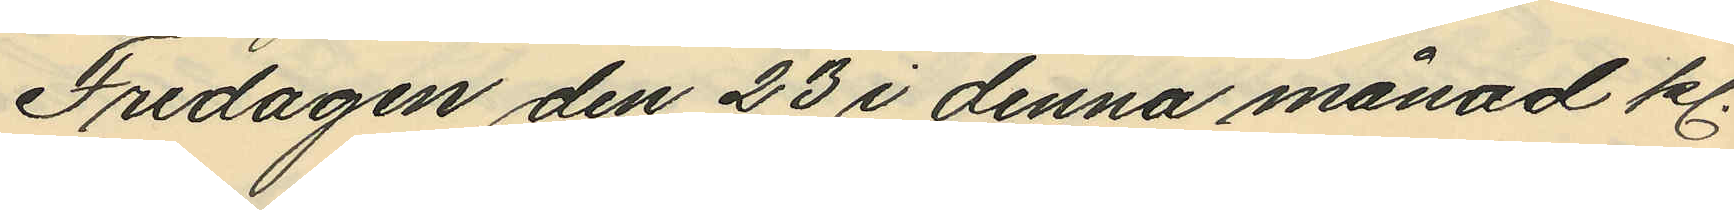Fredagen den 23 i denna månad kl.
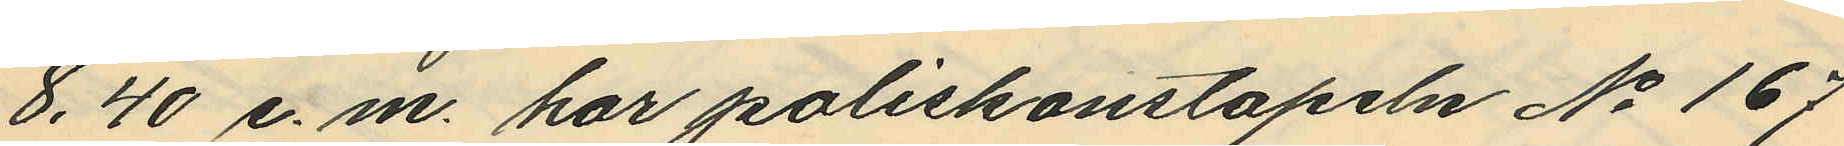8,40 e.m. har poliskonstapeln No 167
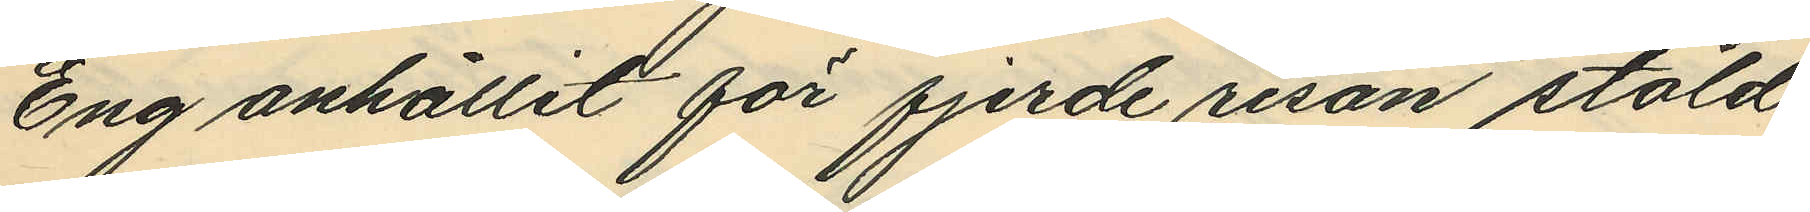Eng anhållit för fjerde resan stöld
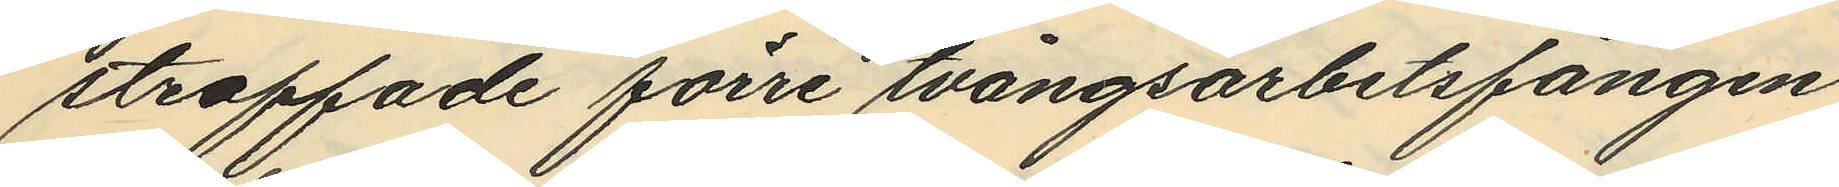straffade förre tvångsarbetsfången
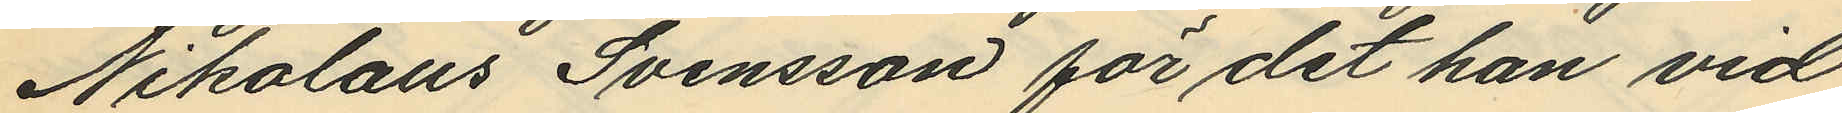Nikolaus Svensson för det han vid
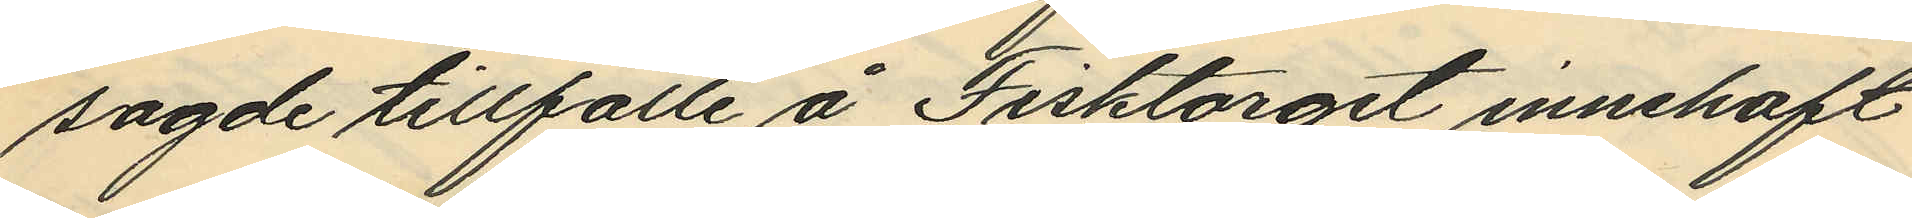sagde tillfälle å Fisktorget innehaft
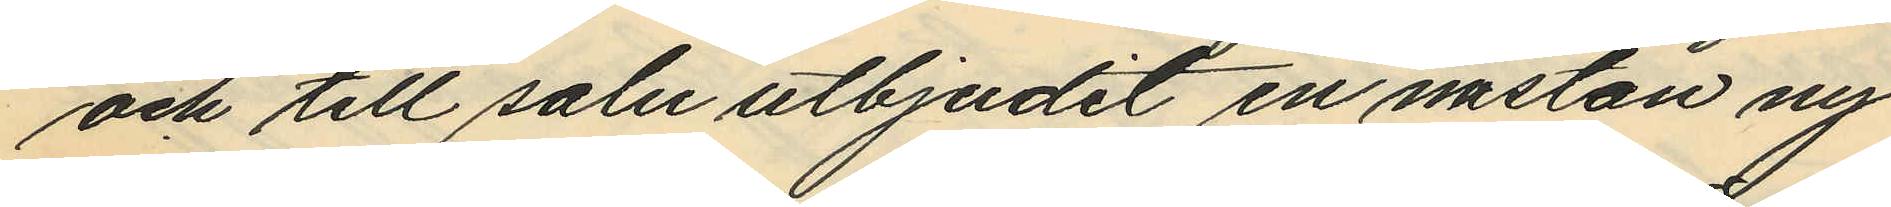och till salu utbjudit en nästan ny
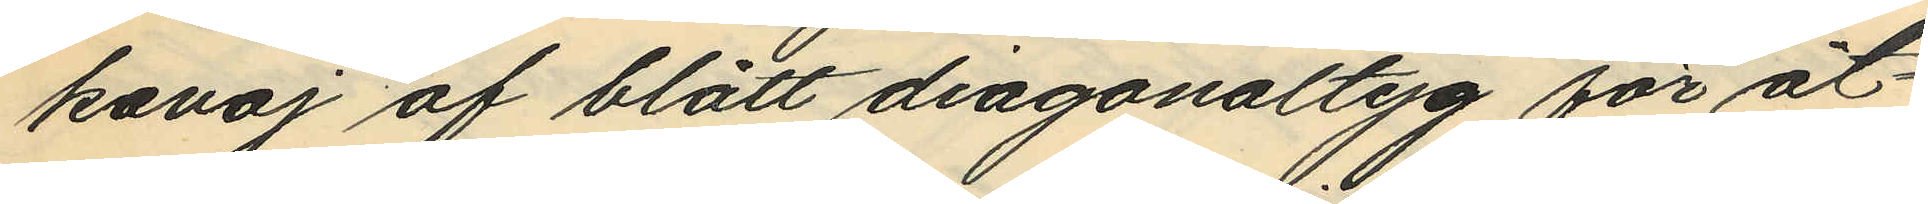kavaj af blått diagonaltyg för åt¬
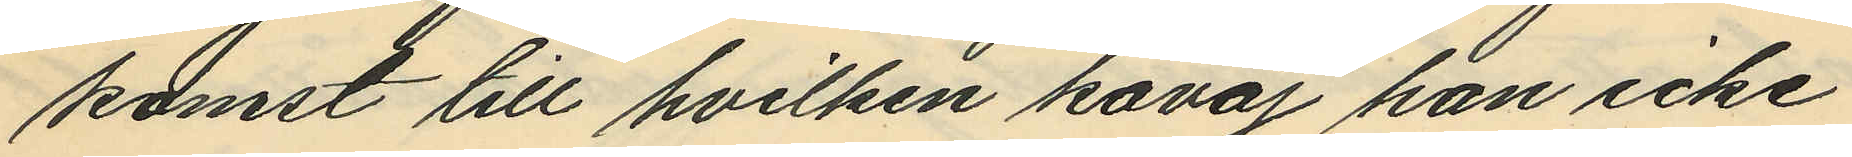komst till hvilken kavaj han icke
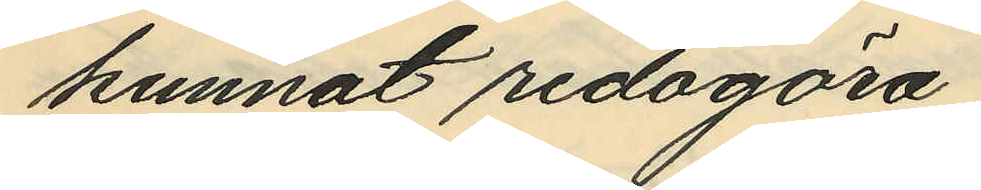kunnat redogöra.
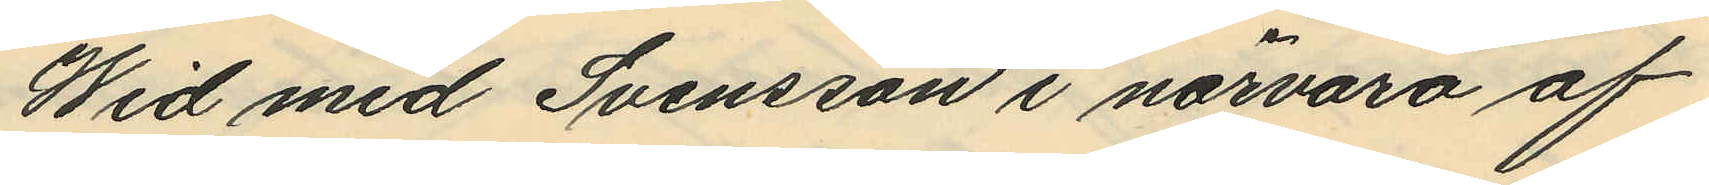Wid med Svensson i närvaro af
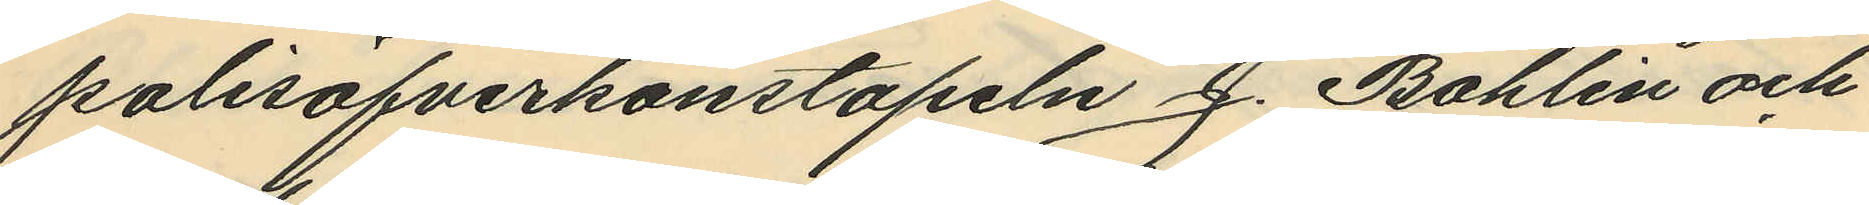polisöfverkonstapeln J. Bohlin och
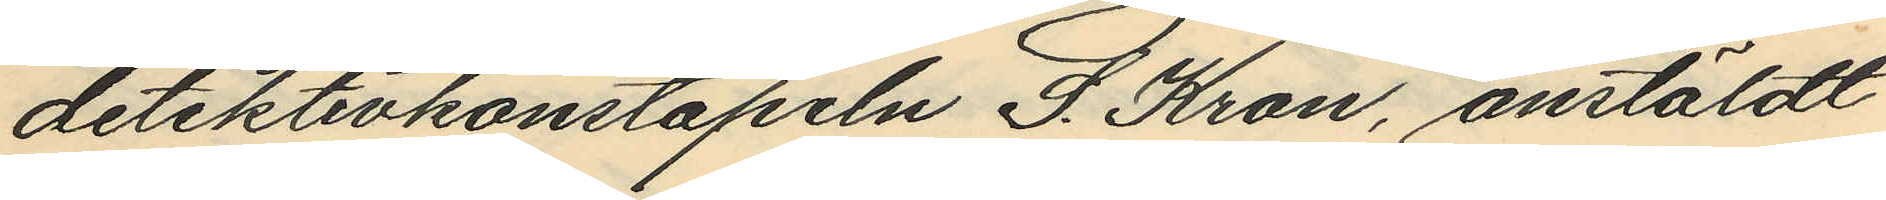detektivkonstapeln S. Kron, anstäldt
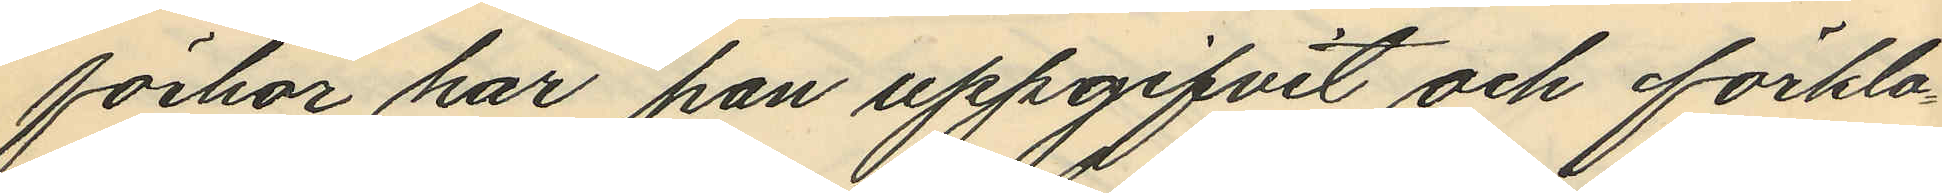förhör har han uppgifvit och förkla¬
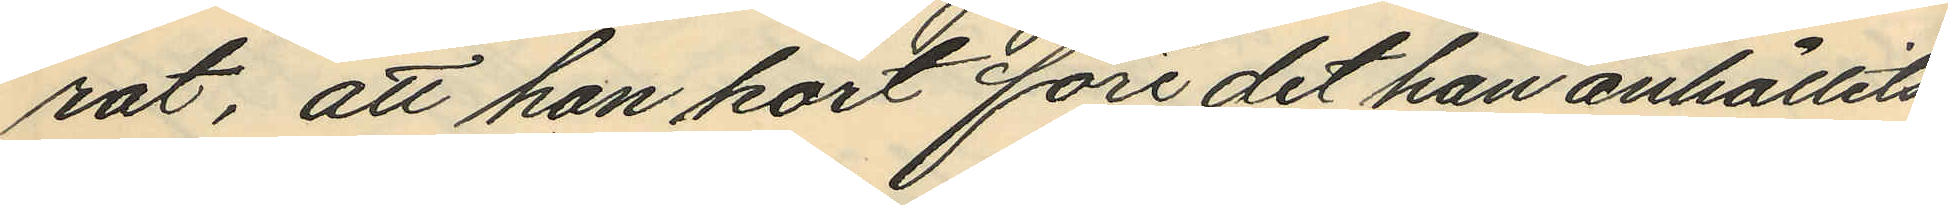rat, att han kort före det han anhållits
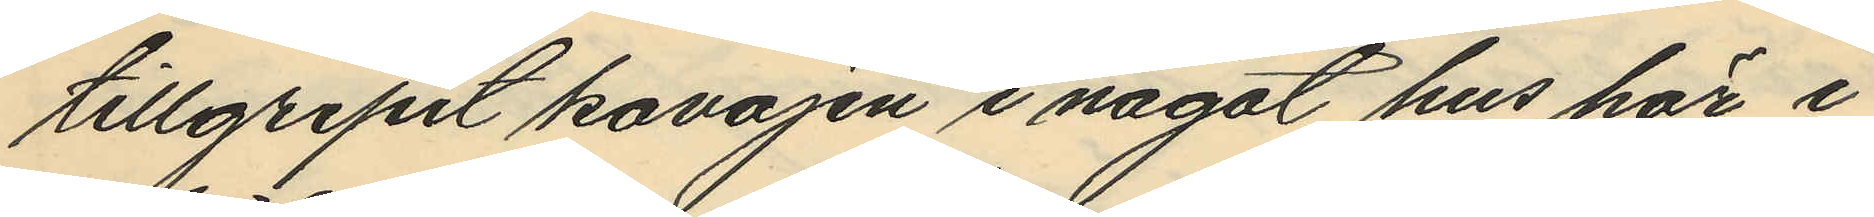tillgripit kavajen i något hus här i
